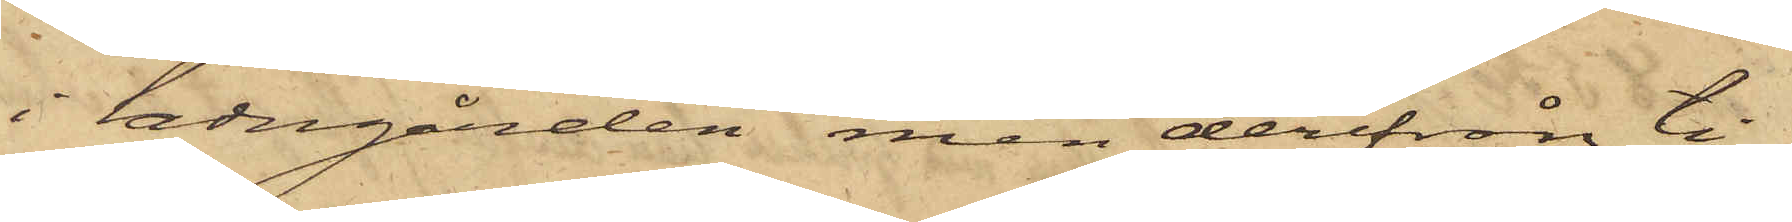i ladugården men derifrån ti¬
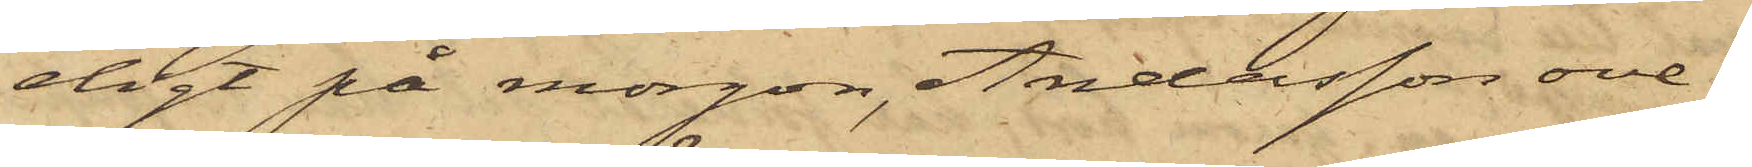digt på morgon, Andersson ove¬
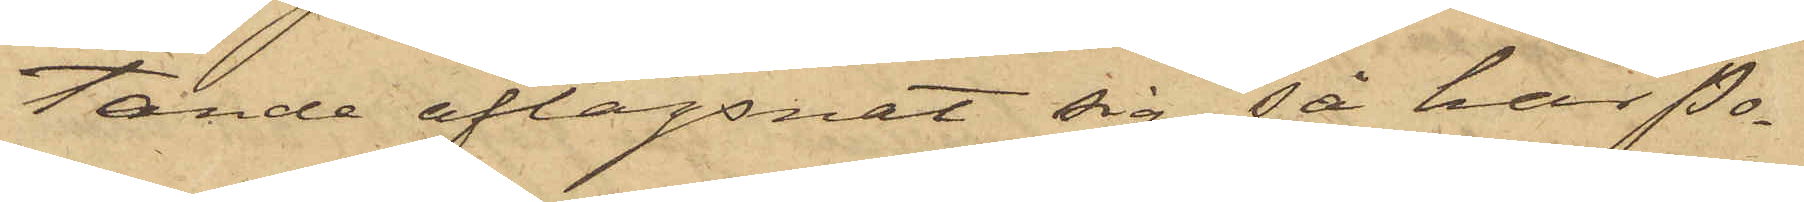tande aflägsnat sig, så har Po¬
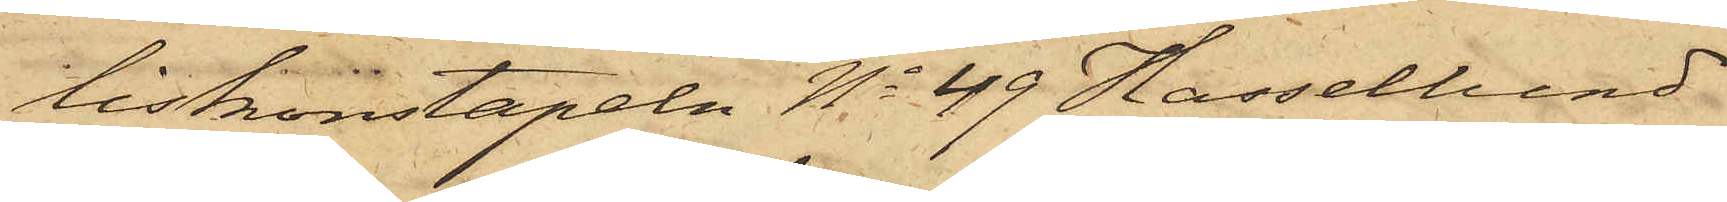liskonstapeln No 49 Hassellund
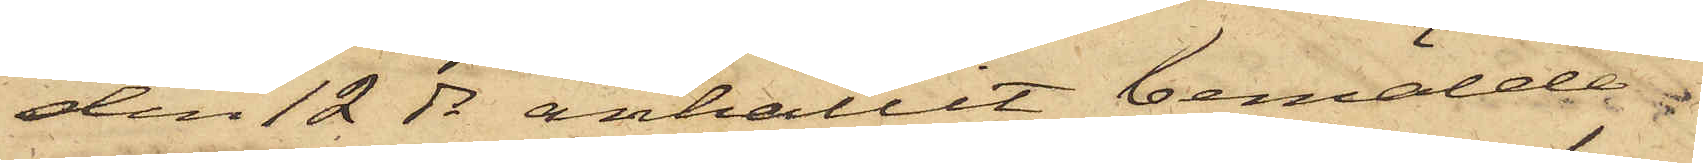den 12 ds anhållit bemälde
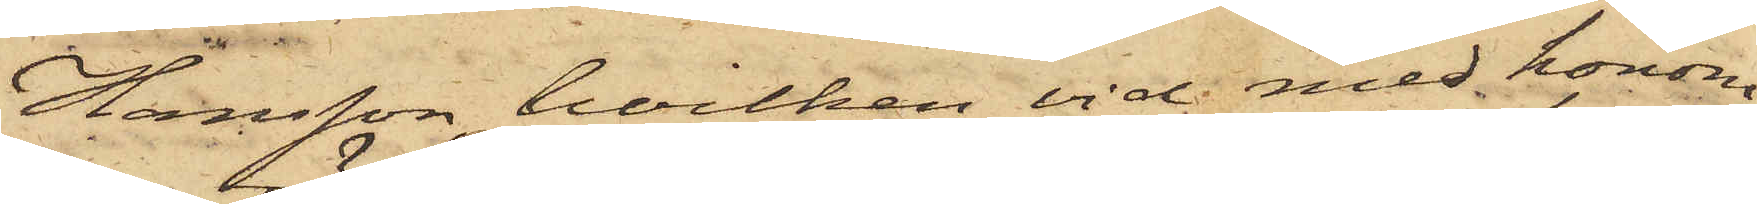Hansson, hvilken vid med honom
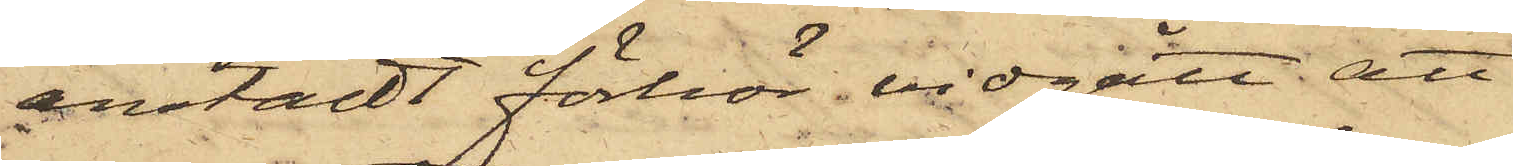anstäldt förhör vidgått att
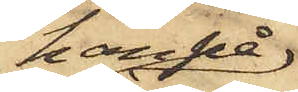han på
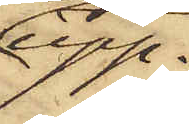upp¬
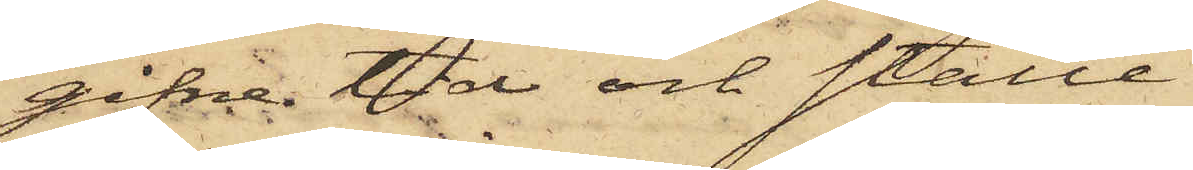gifne tid och ställe.
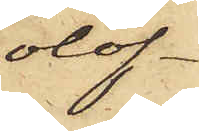olof¬
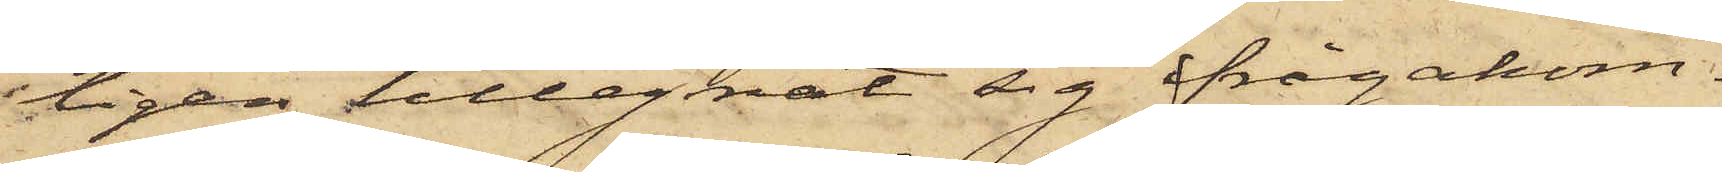ligen tillegnat sig ifrågakom¬
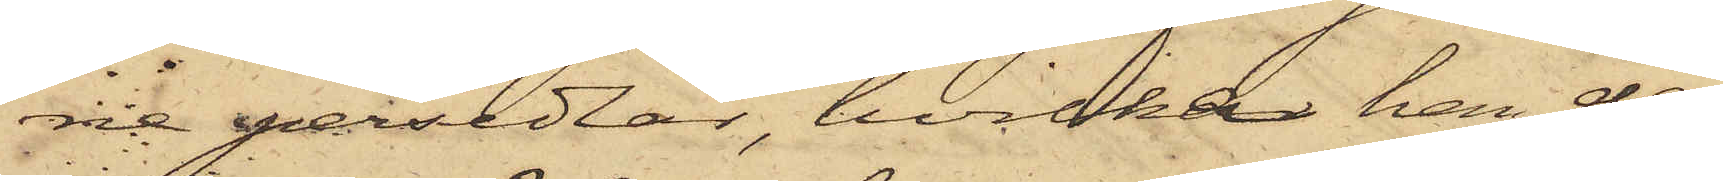ne persedlar, hvilka han der¬
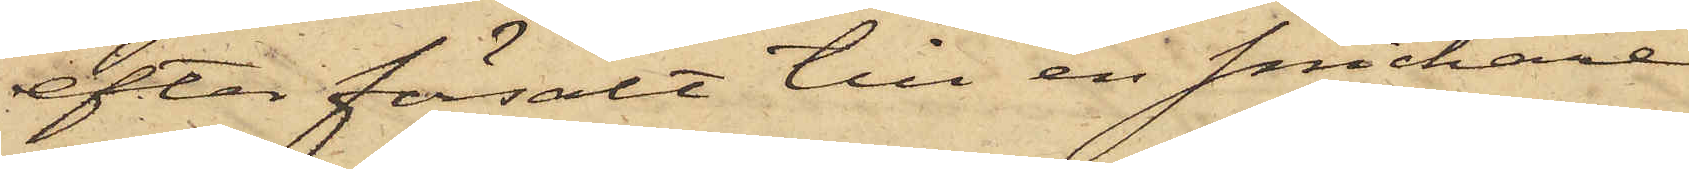efter försålt till en snickare
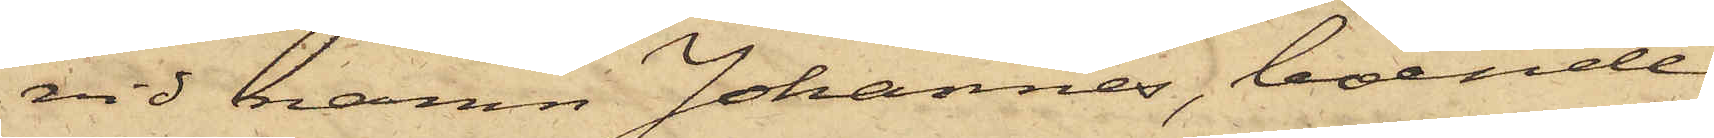vid namn Johannes, boende
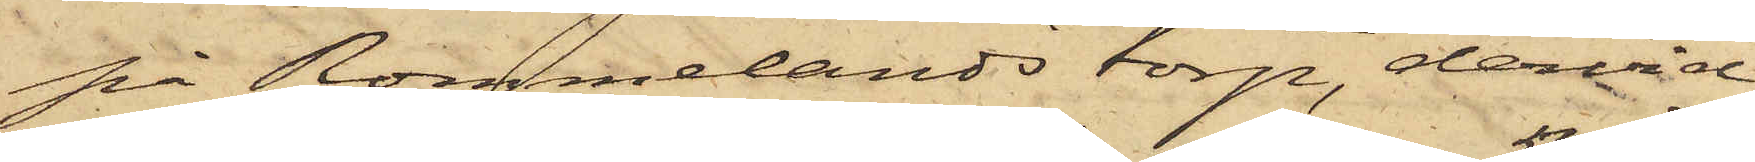på Rommelands torp, dervid
